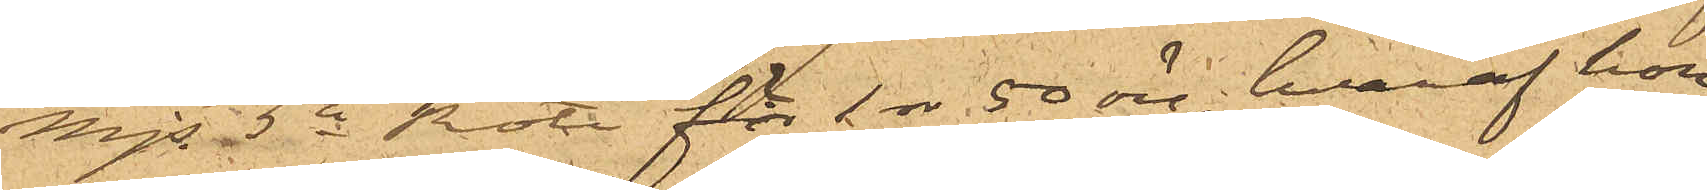Majs 5te Rote för 1 rdr 50 öre, hvaraf hon
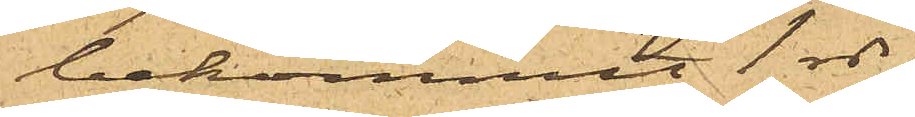bekommit 1 rdr
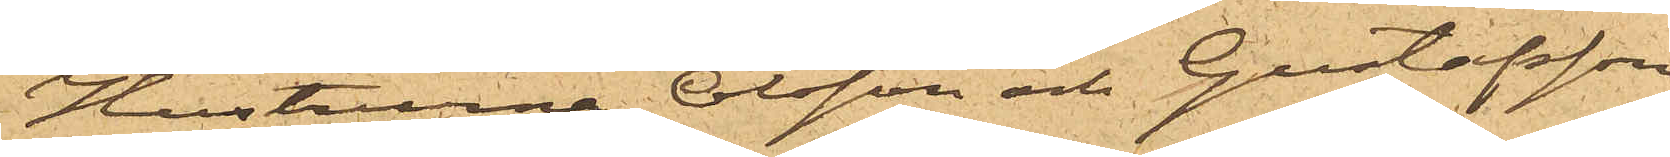Hustrurna Olsson och Gustafsson
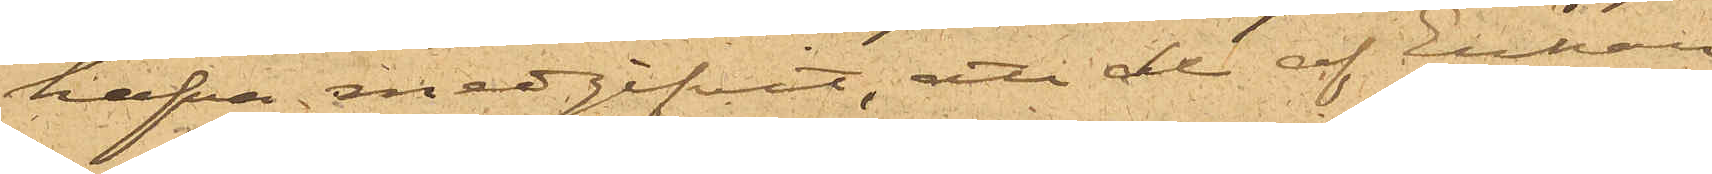hafva medgifvit, att de af Enkan
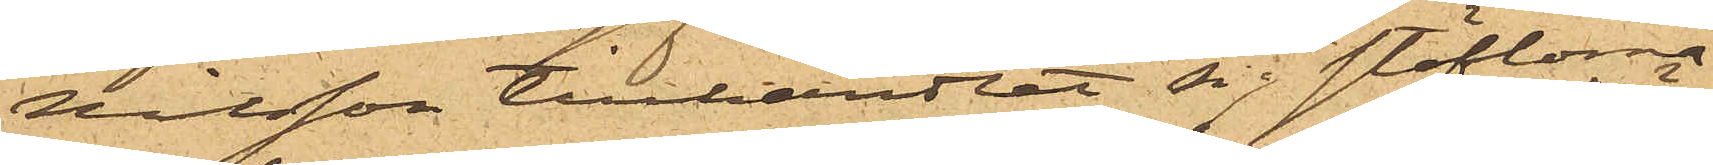Nilsson tillhandlat sig stöflorna
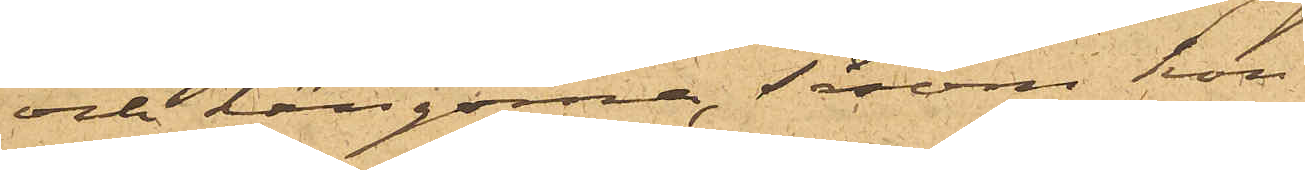och kängorna, såsom hon
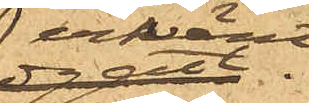erkänt.
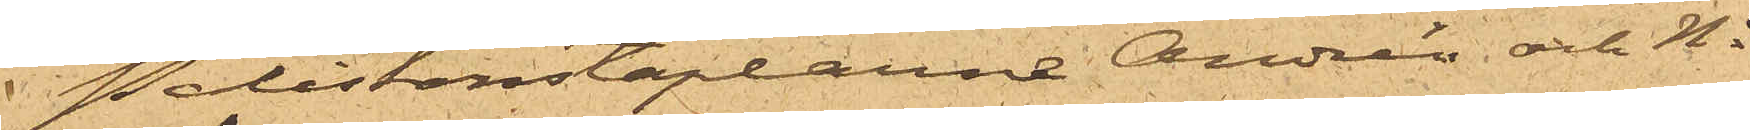Poliskonstaplarne Andrén och No
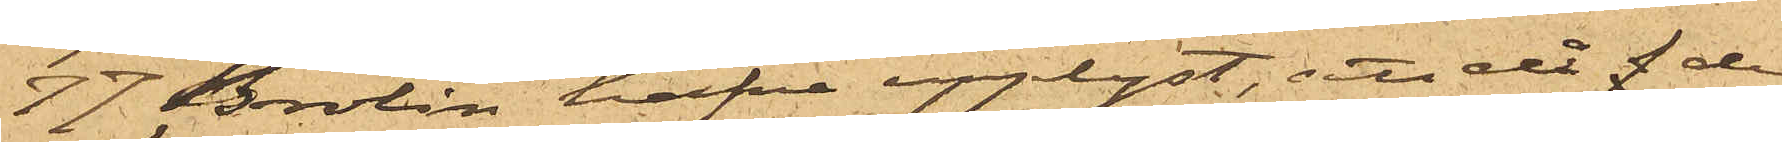77 Brolin hafva upplyst, att då de
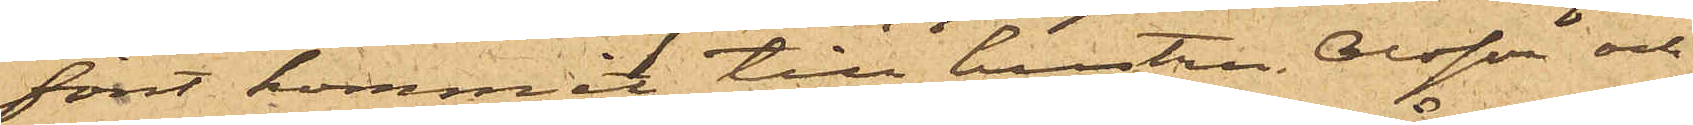först kommit till hustru Olsson och
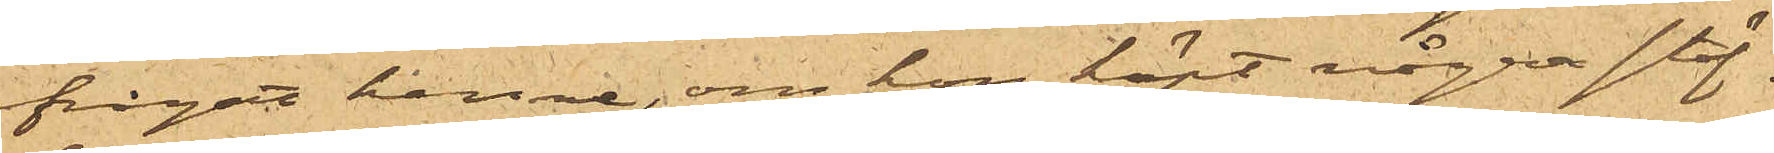frågat henne, om hon köpt några stöf¬
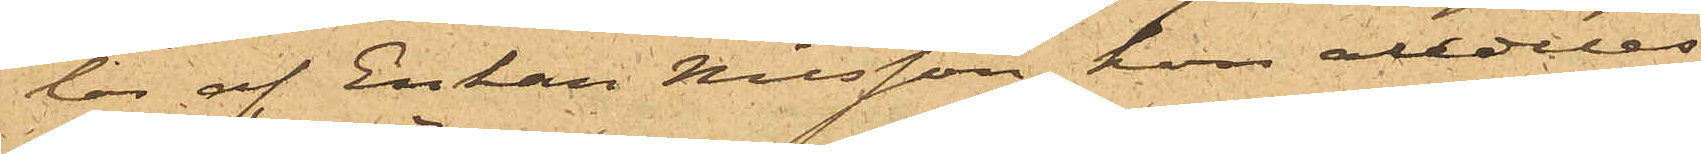lor af Enkan Nilsson, hon alldeles
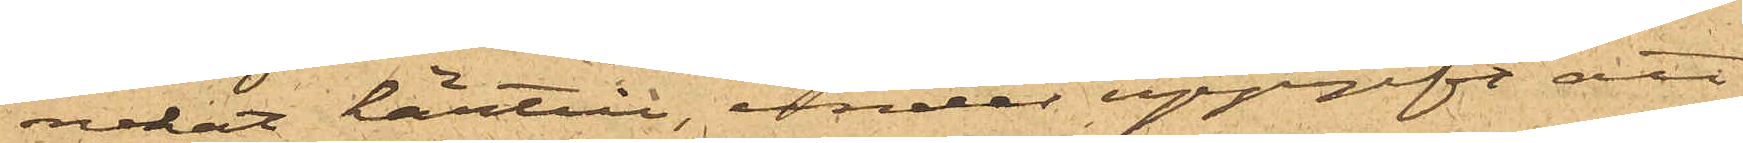nekat härtill, under uppgift att
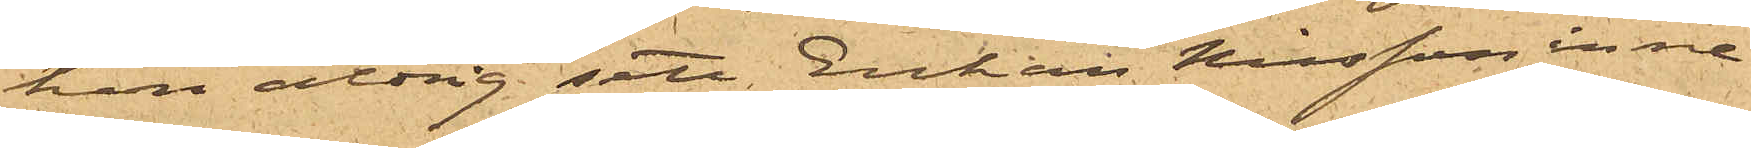hon aldrig sett Enkan Nilsson inne¬
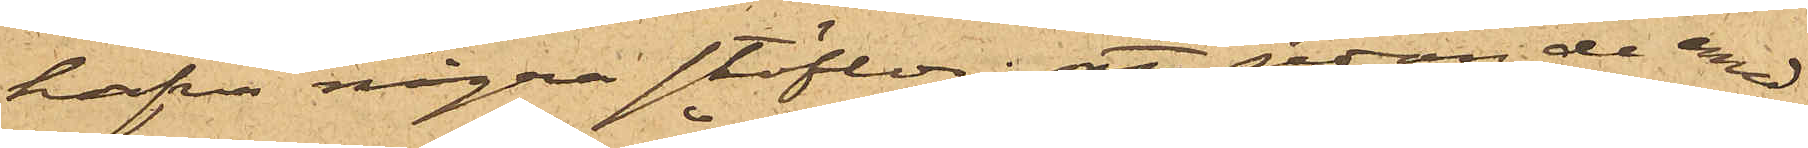hafva några stöflor; att sedan de med¬
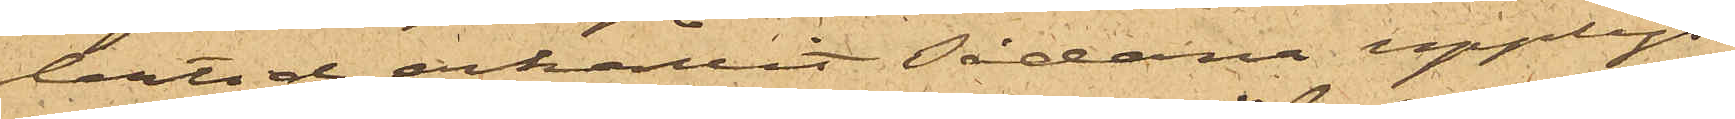delats och erhållit sådana upplys¬
